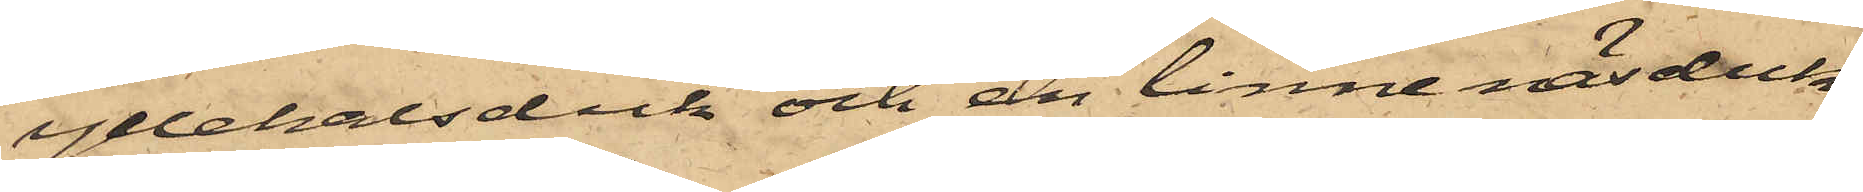yllehalsduk och en linne näsduk;
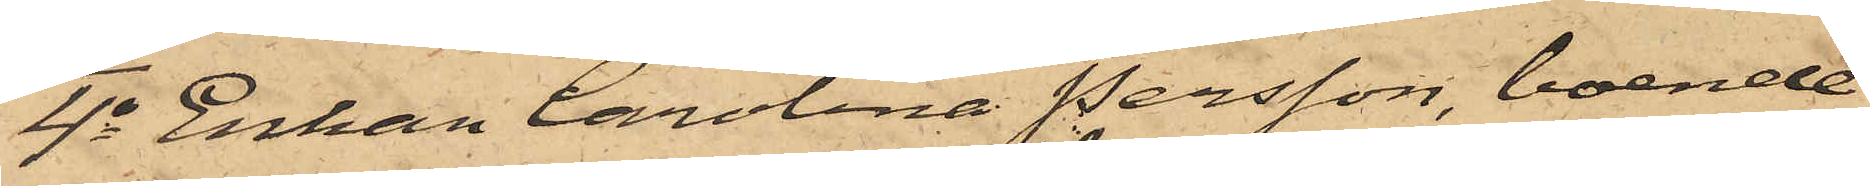4o Enkan Carolina Persson, boende
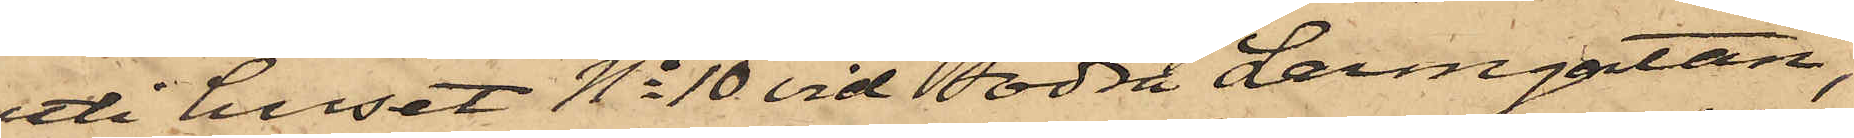uti huset No 10 vid Södra Larmgatan,
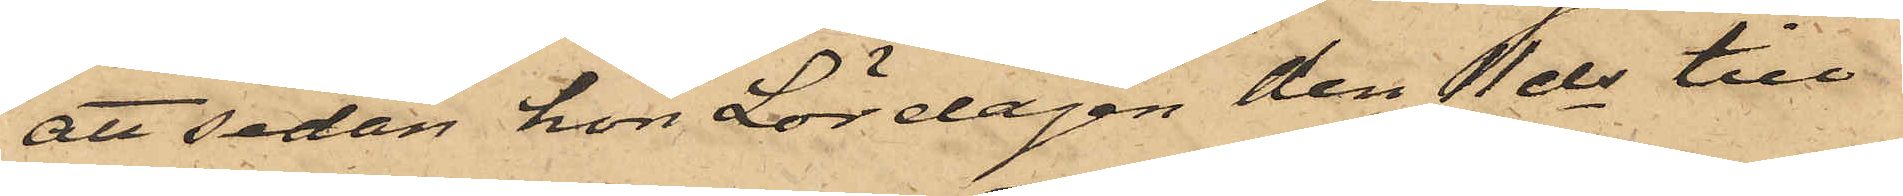att sedan hon Lördagen den 11 ds till
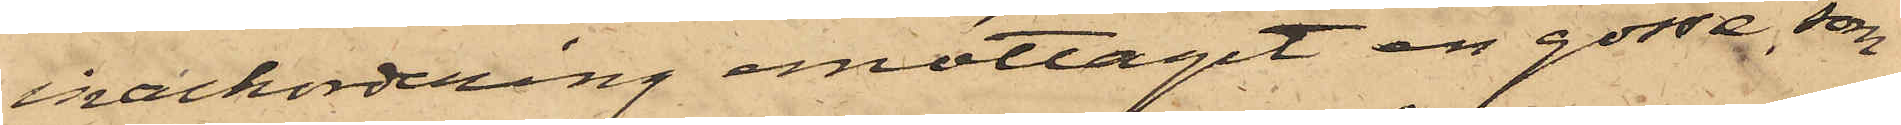inackordering emottagit en gosse, som
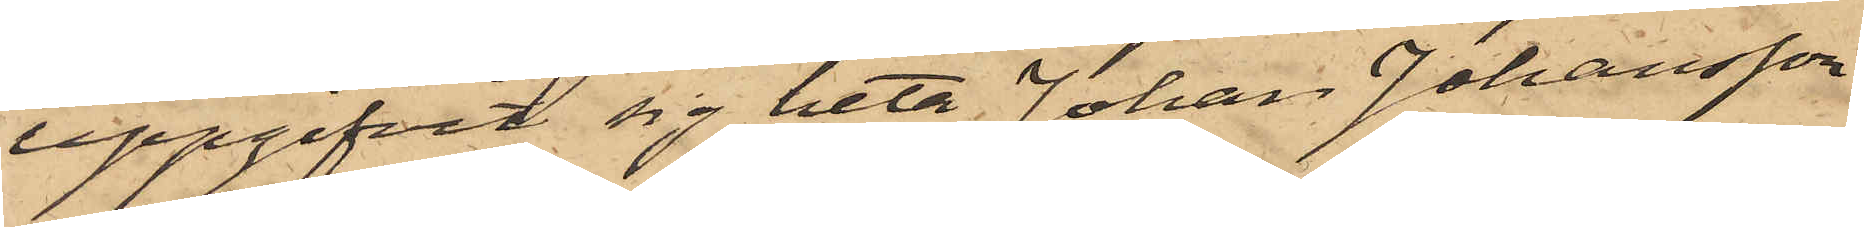uppgifvit sig heta Johan Johansson
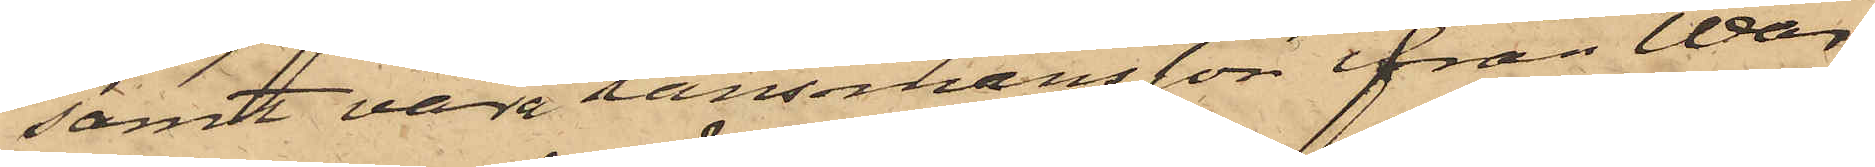samt vara länsmansson ifrån War¬
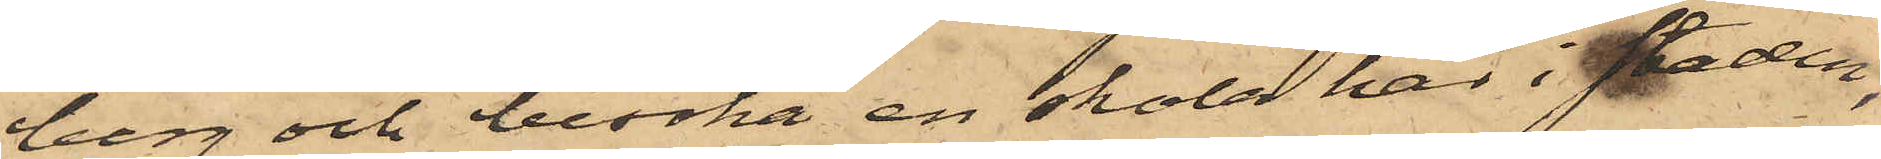berg och besöka en skola här i staden,
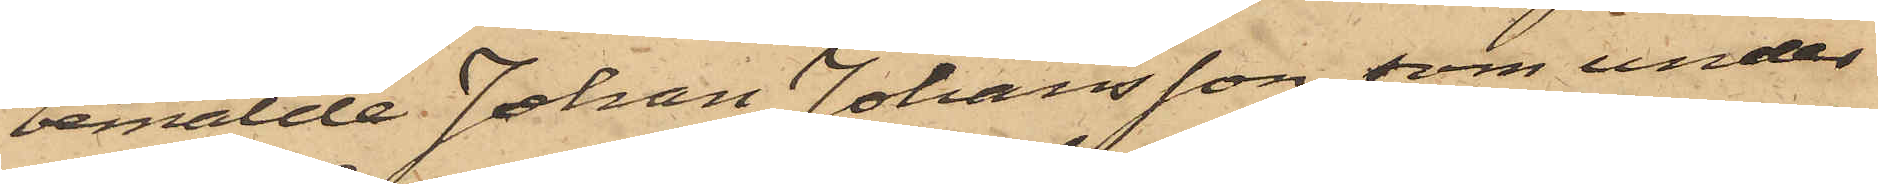bemälde Johan Johansson, som under
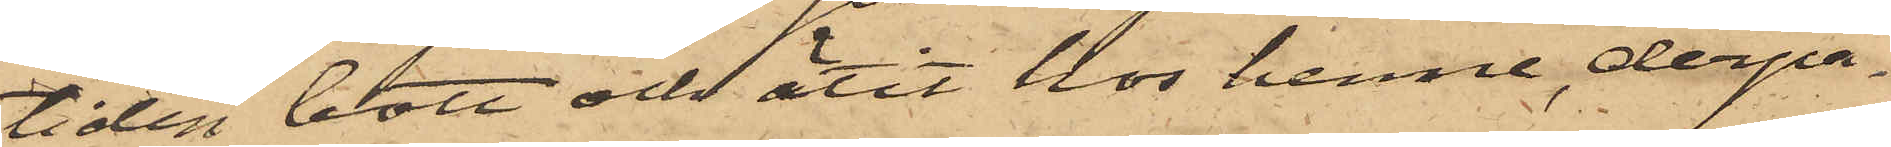tiden bott och ätit hos henne, derpå¬
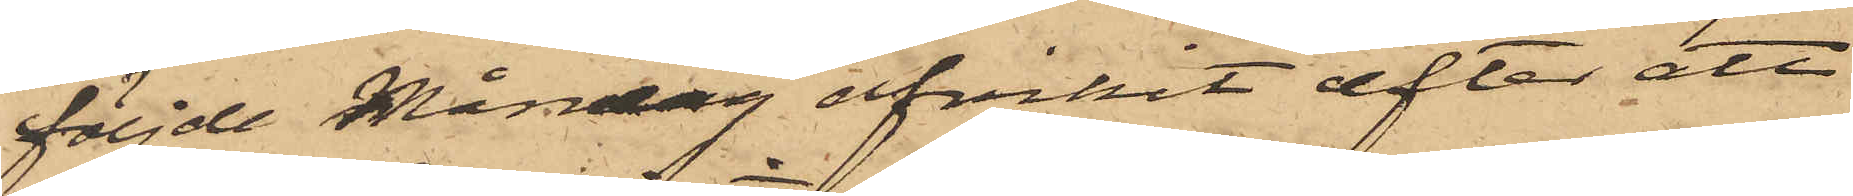följde Måndag afvikit efter att
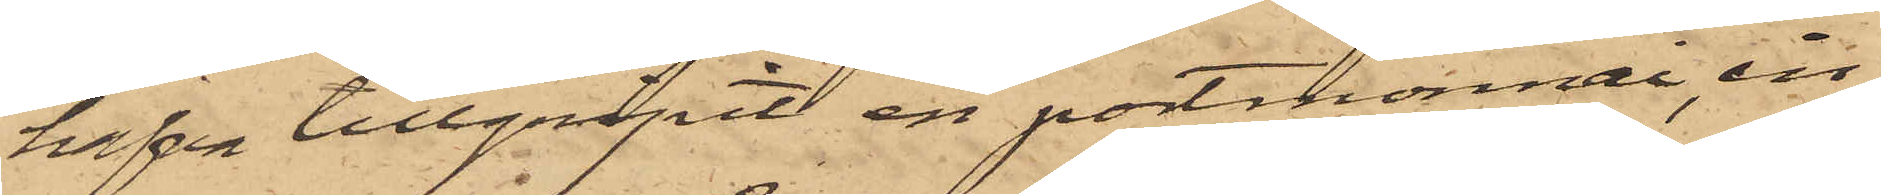hafva tillgripit en portmonnai, in¬
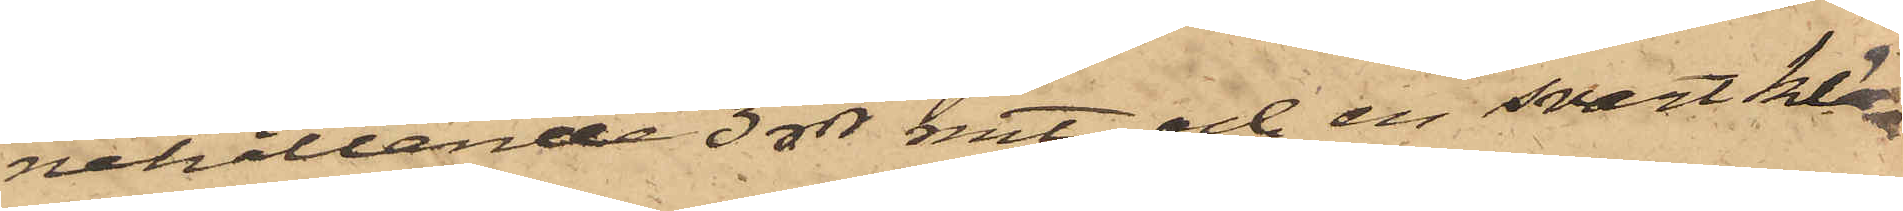nehållande 3 rdr rmt och en svart klä¬
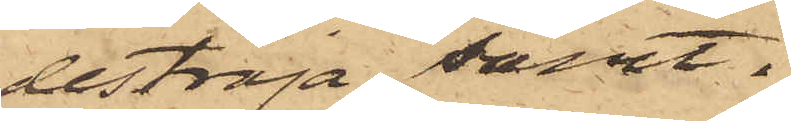deströja samt
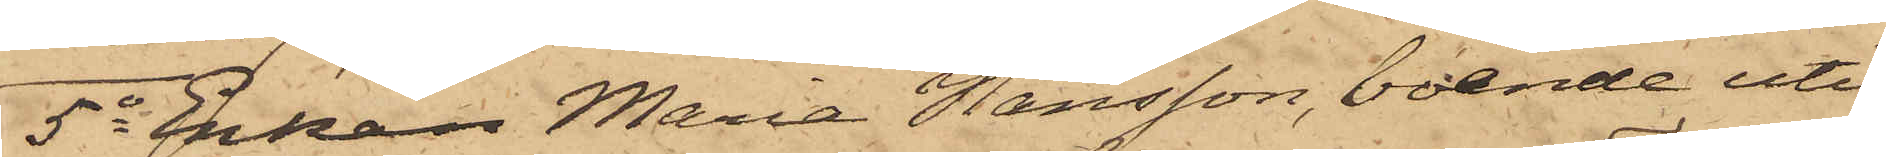5o Enkan Maria Hansson, boende uti
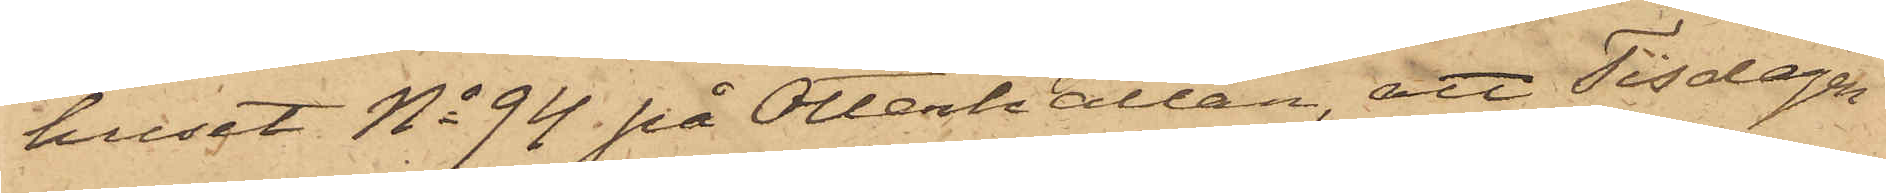huset No 94 på Otterhällan, att Tisdagen
